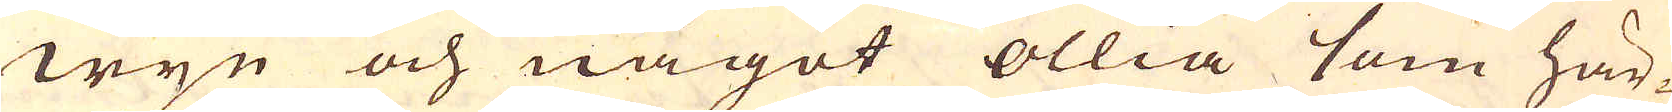wijn och något ollia som här-
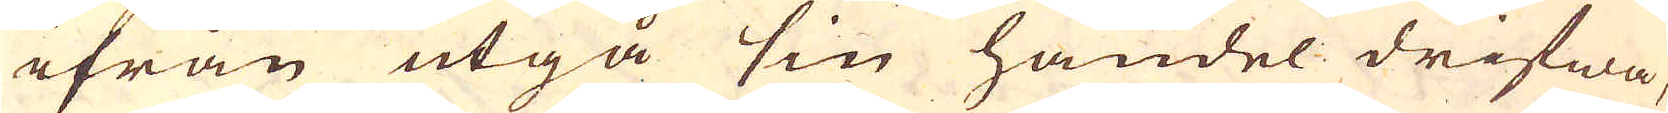ifrån utgå sin handel drifwa,
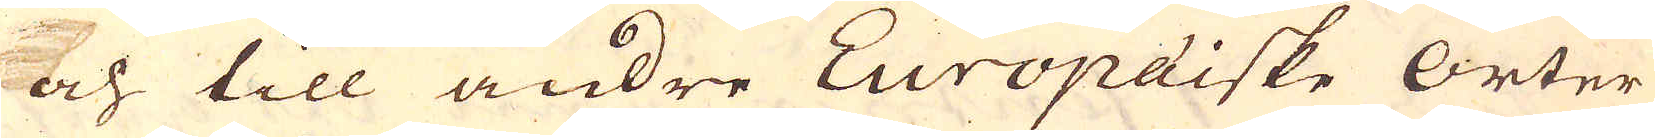och till andre Europäiske Orter
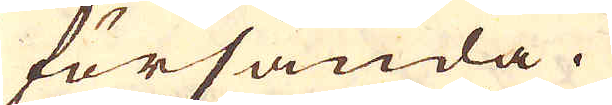försända.
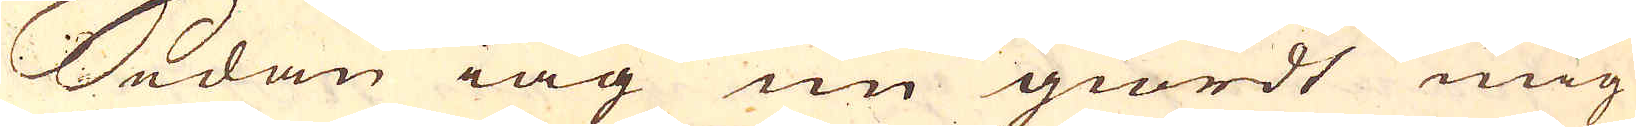Sedan iag nu giordt mig
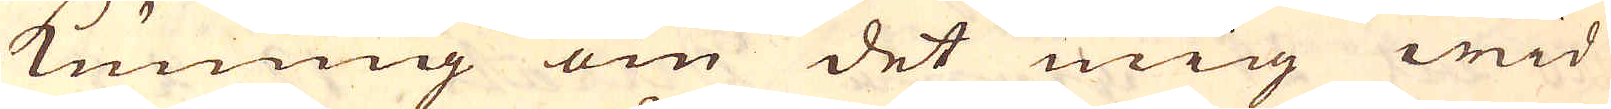kuning om det mig wid
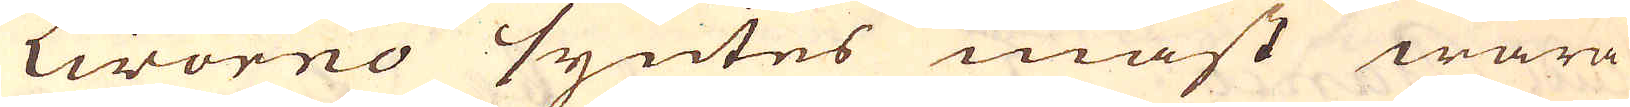Livorno syntes mäst wara
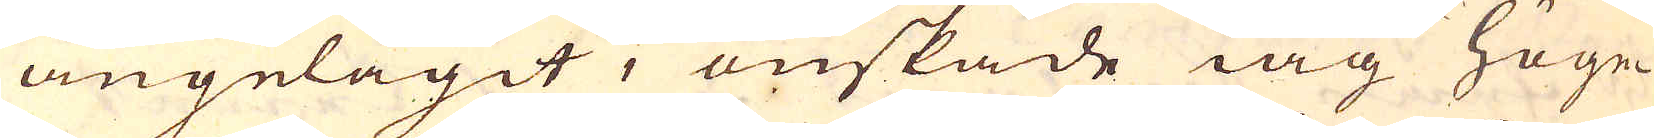angelägit, önskade iag höge-
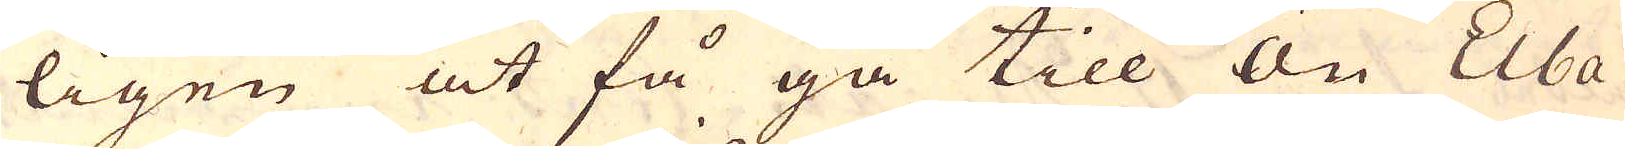ligen at få gå till Ön Elba
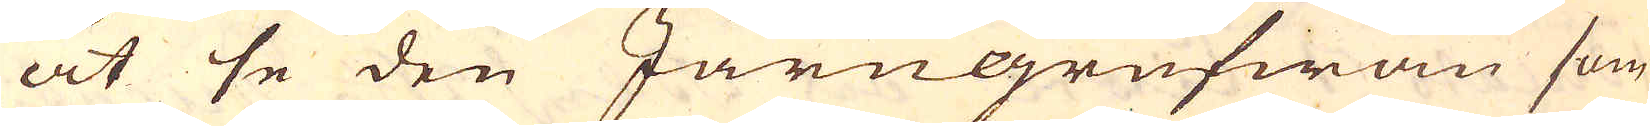at se den Järngrufwan som
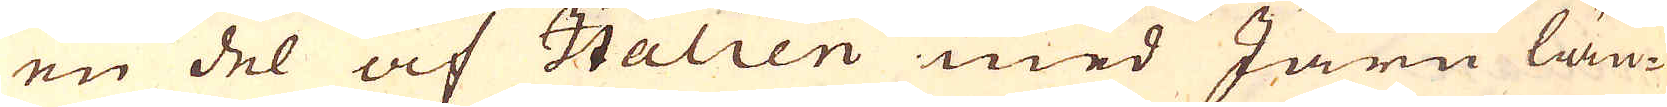en del af Italien med Järn län-
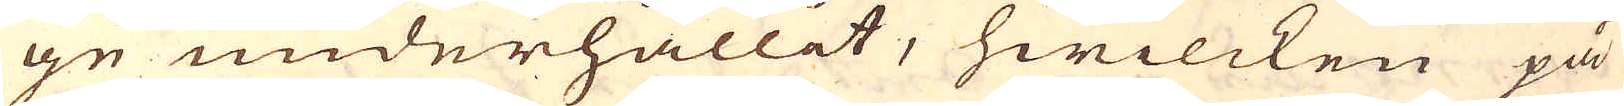ge underhållit, hwilcken på
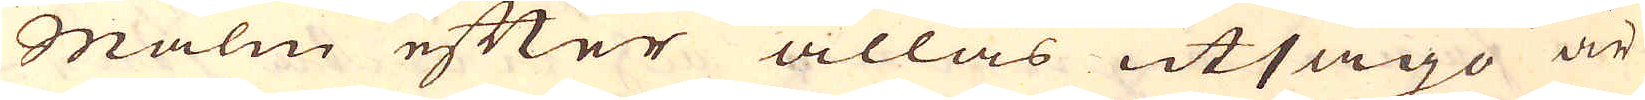Malm efter allas utsago är
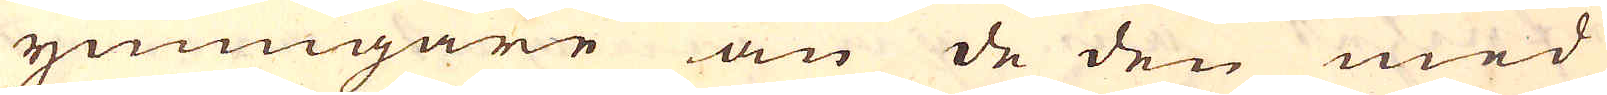ymnigare än de den med
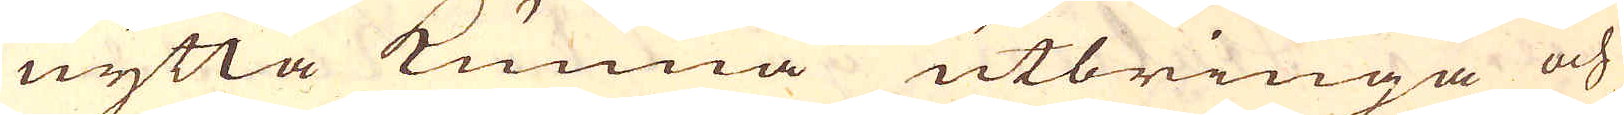nytta kunna utbringa och
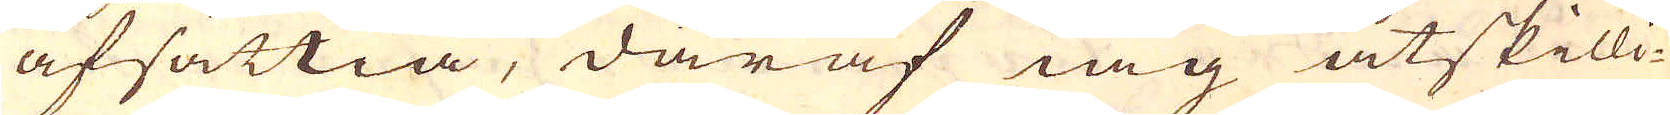afsättia, däraf iag åtskilli-
